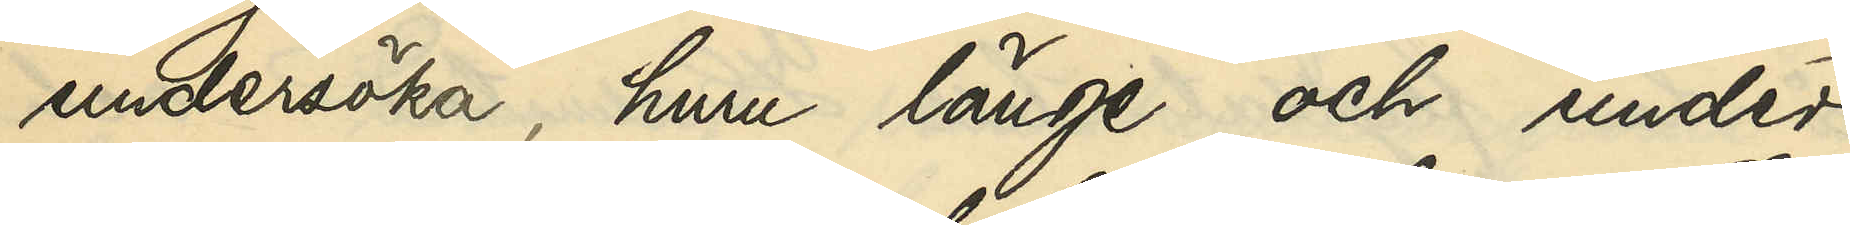undersöka, huru länge och under
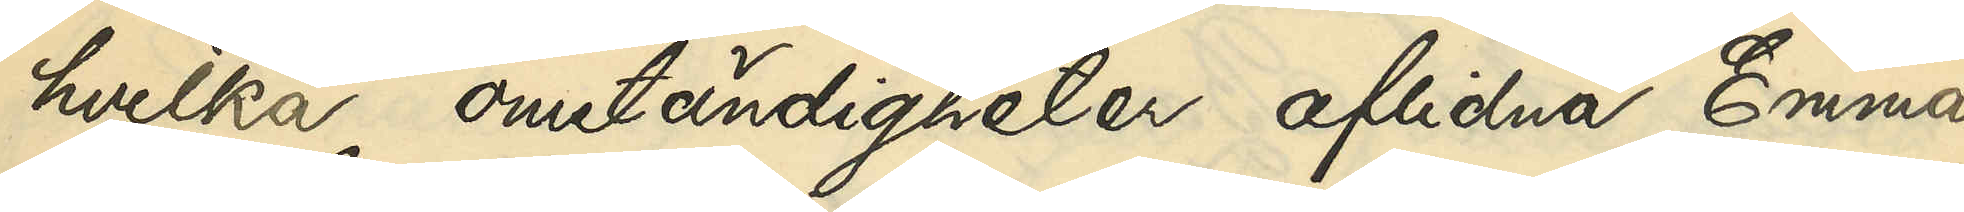hvilka omständigheter aflidna Emma
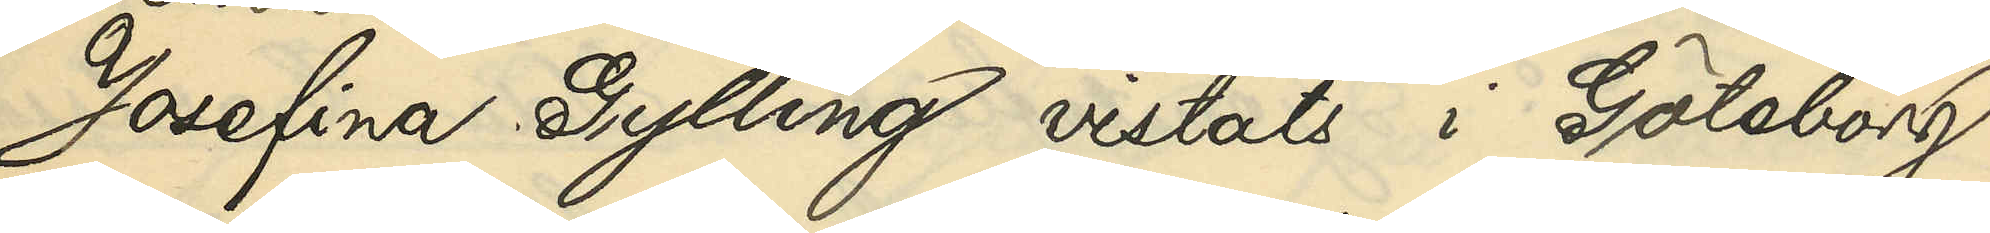Josefina Gylling vistats i Göteborg
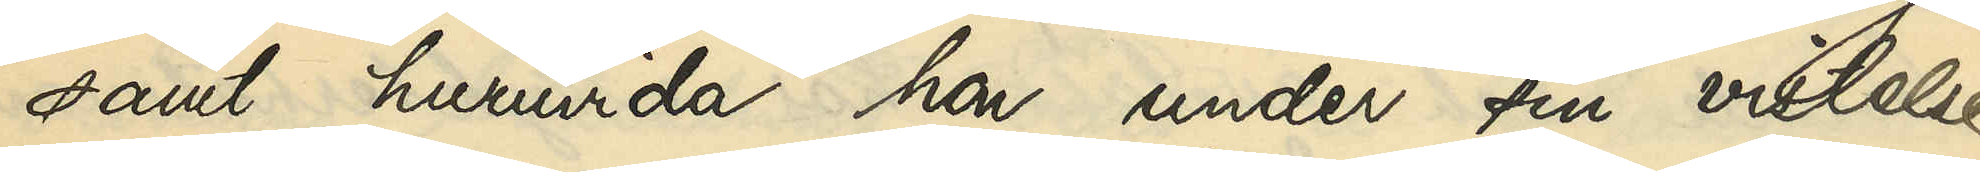samt huruvida hon under sin vistelse
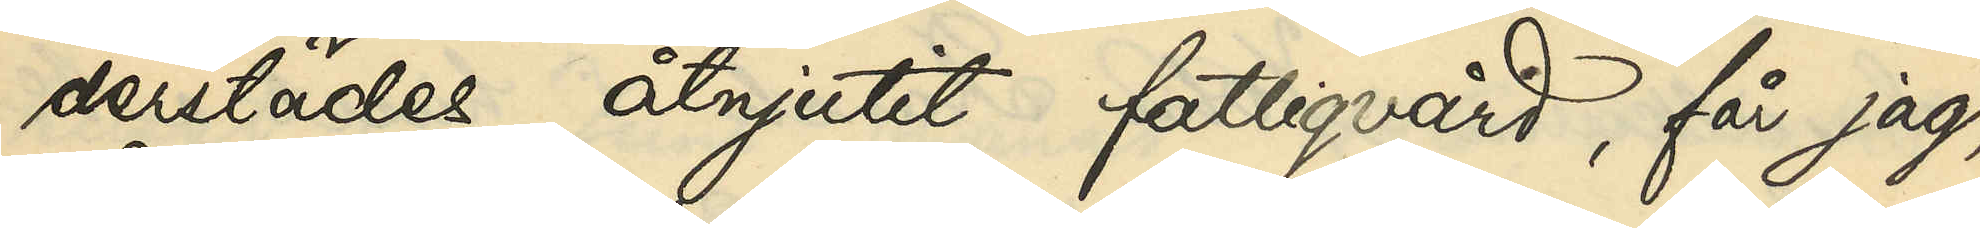derstädes åtnjutit fattigvård, får jag,
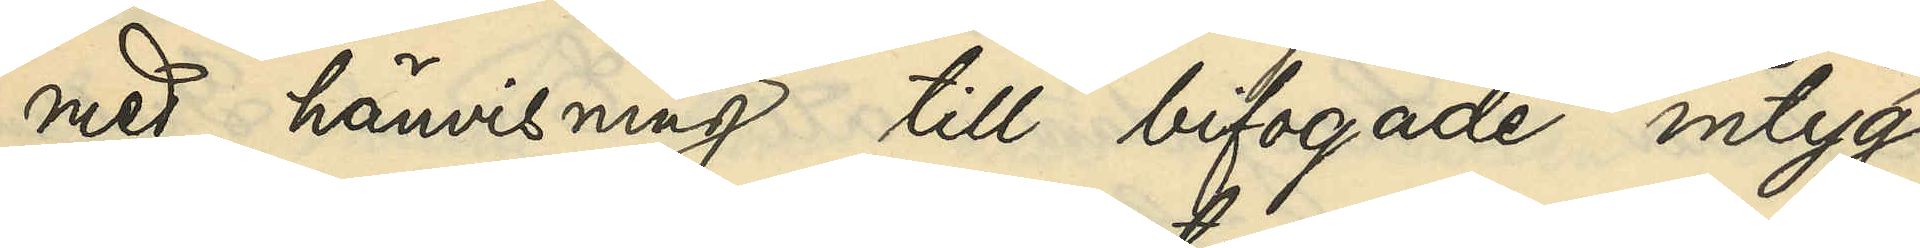med hänvisning till bifogade intyg
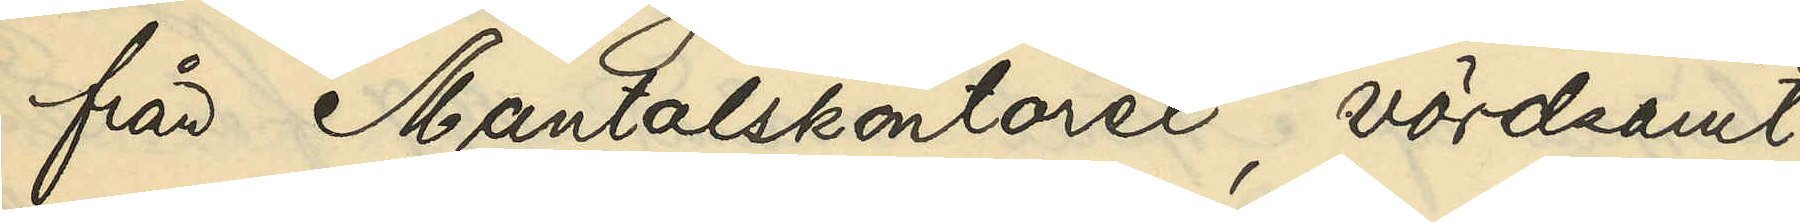från Mantalskontoret, vördsamt
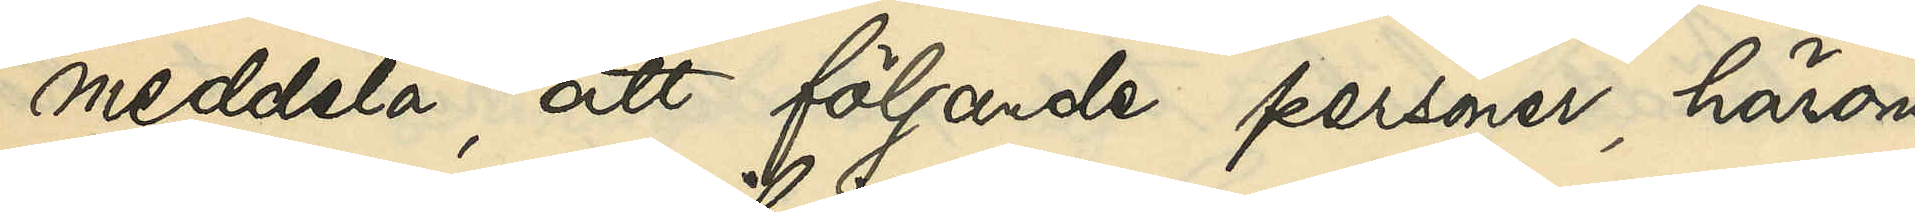meddela, att följande personer, härom
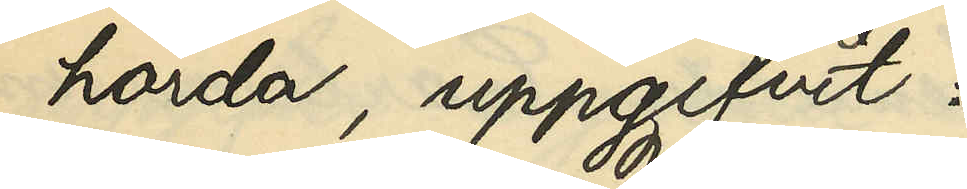hörda, uppgifvit:
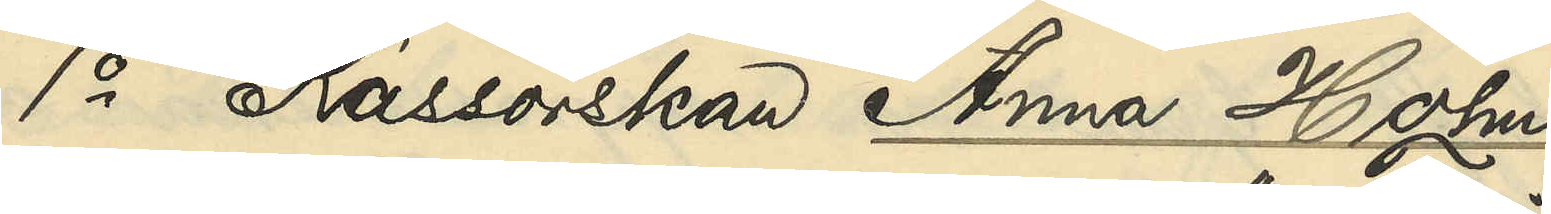1o Kassörskan Anna Holm¬
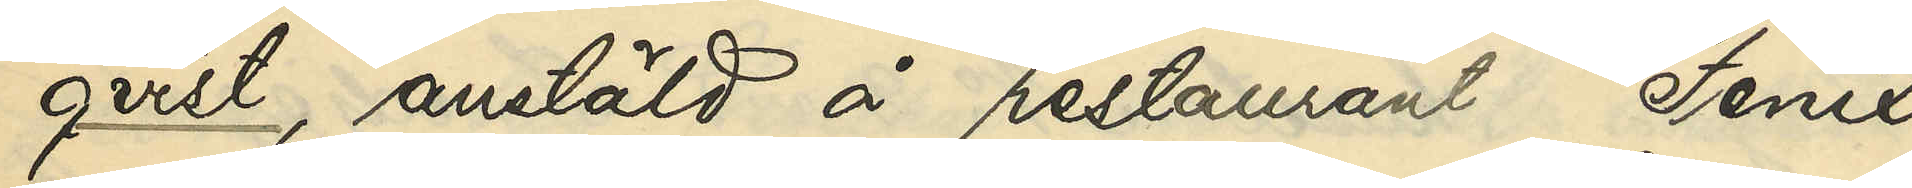qvist, anstäld å restaurant "Fenix"
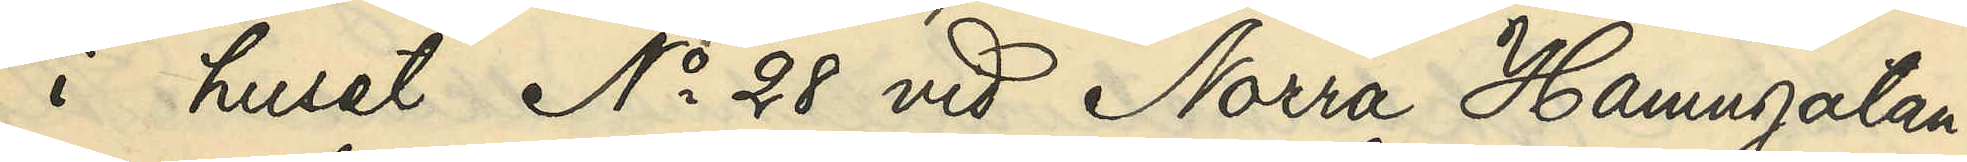i huset No 28 vid Norra Hamngatan:
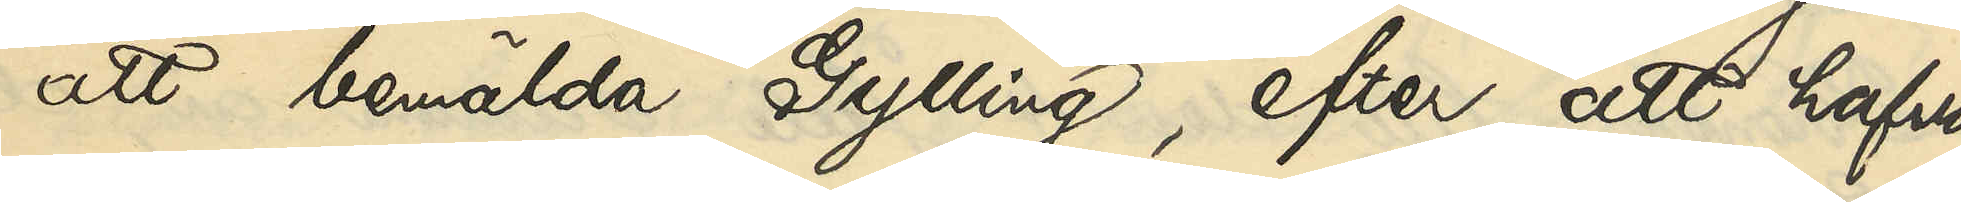att bemälda Gylling, efter att hafva
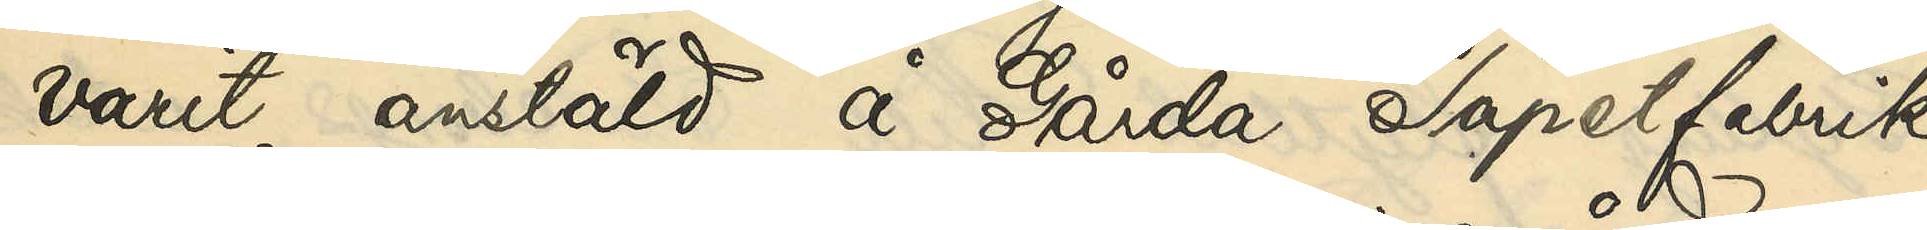varit anstäld å Gårda Tapetfabrik
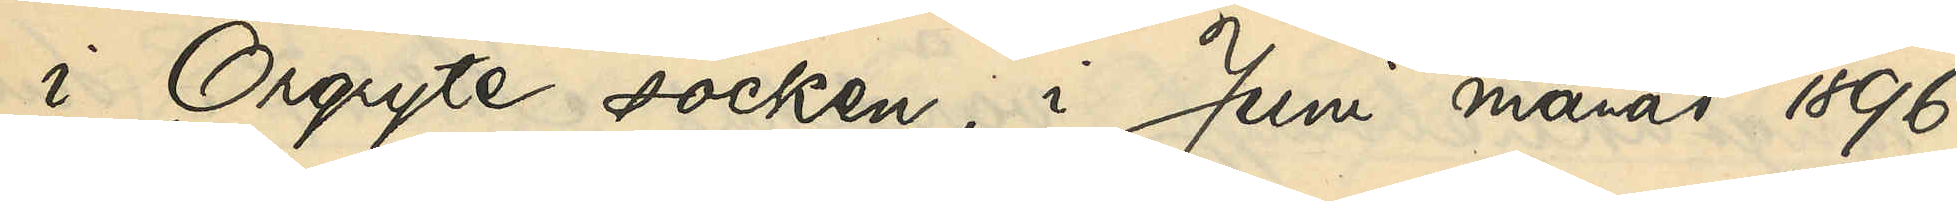i Örgryte socken, i Juni månad 1896
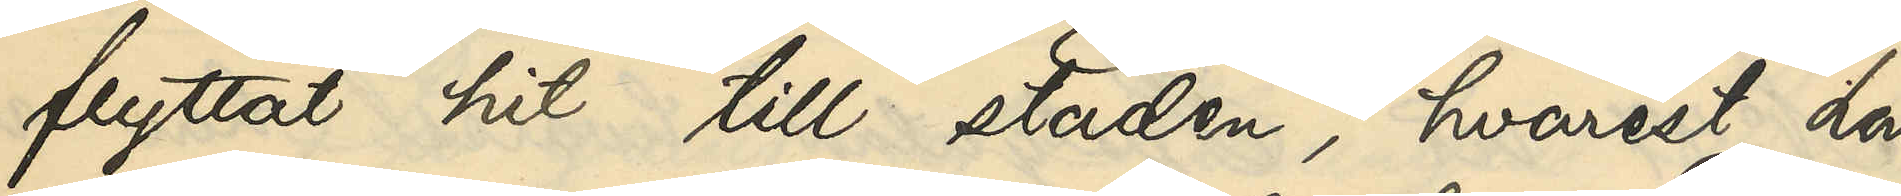flyttat hit till staden, hvarest hon
